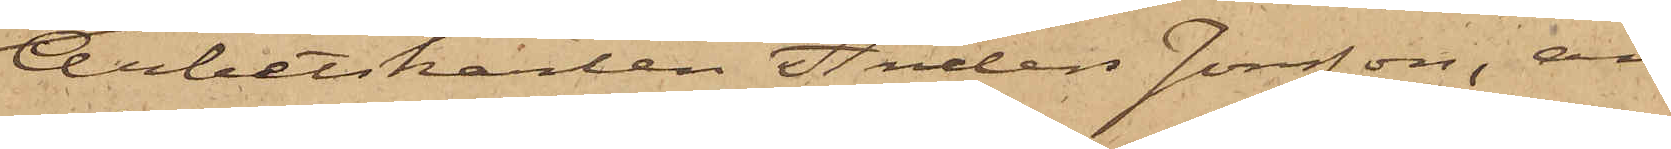Arbetskarlen Anders Jonsson, an¬
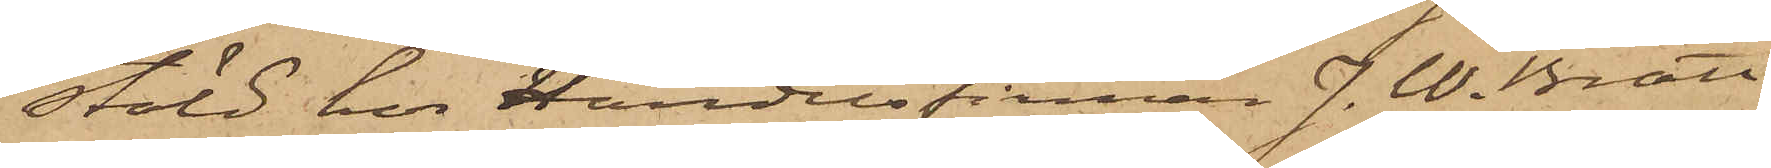stäld hos Handelsfirman J. W. Bratt
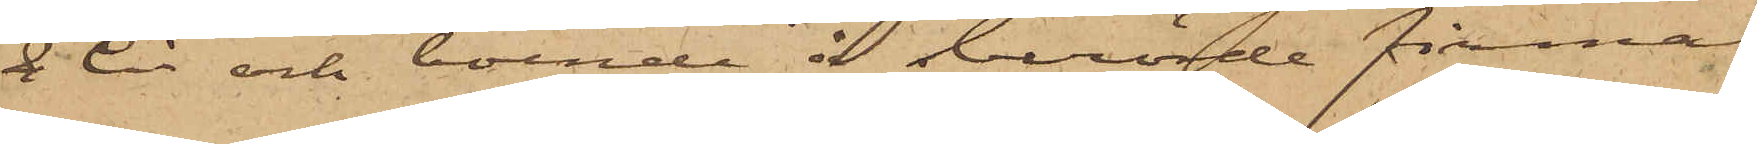& Ci och boende å berörde firmas
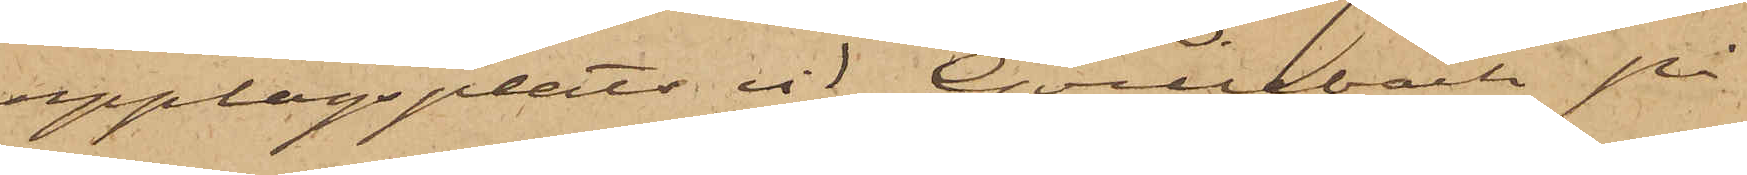upplagsplats vid Qvillebäck på
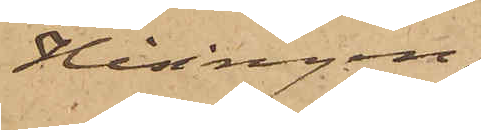Hisingen,
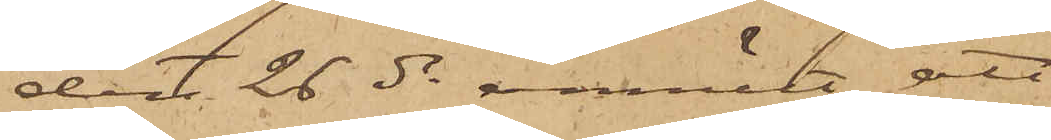den 26 ds anmält att
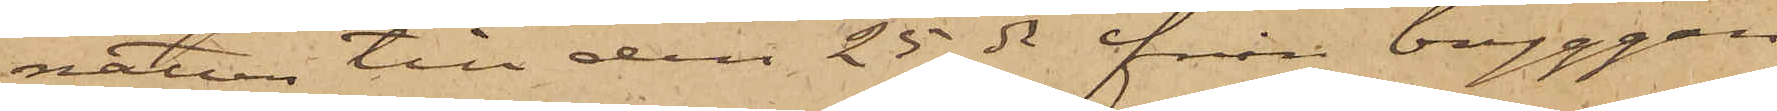natten till den 25 ds från bryggan
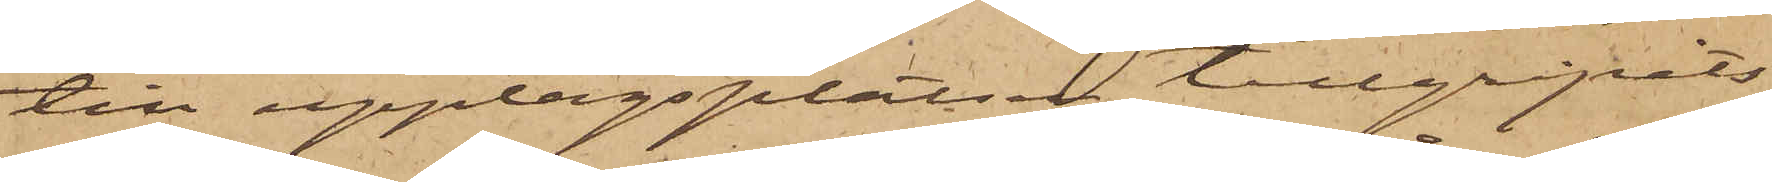till upplagsplatsen tillgripits
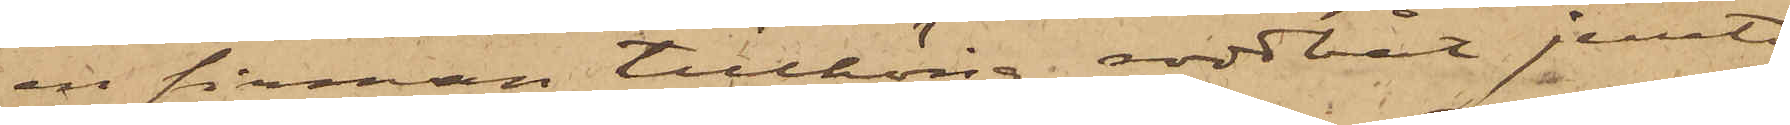en firman tillhörig roddbåt jemte
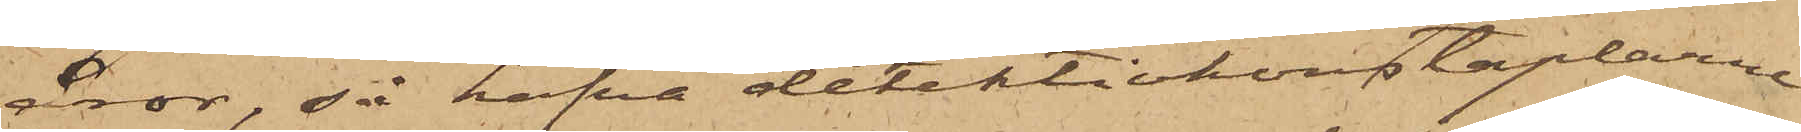åror, så hafva detektivkonstaplarne
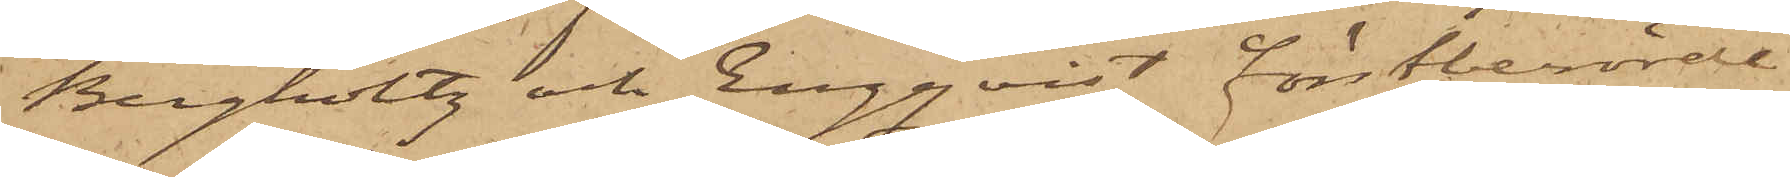Bergholtz och Engqvist förstberörde
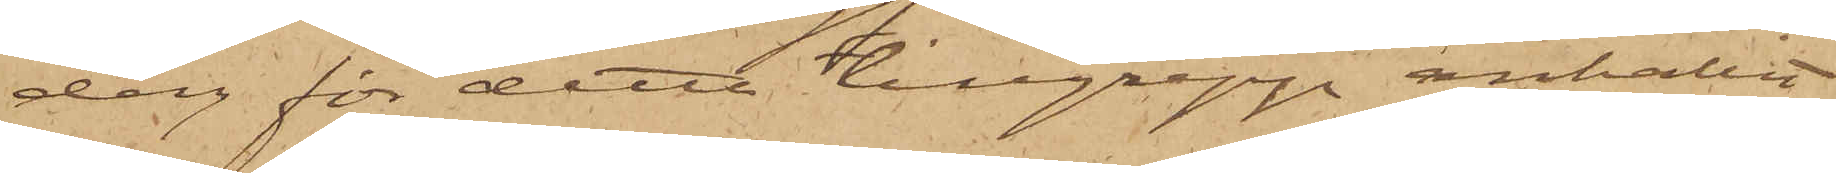dag för detta tillgrepp anhållit
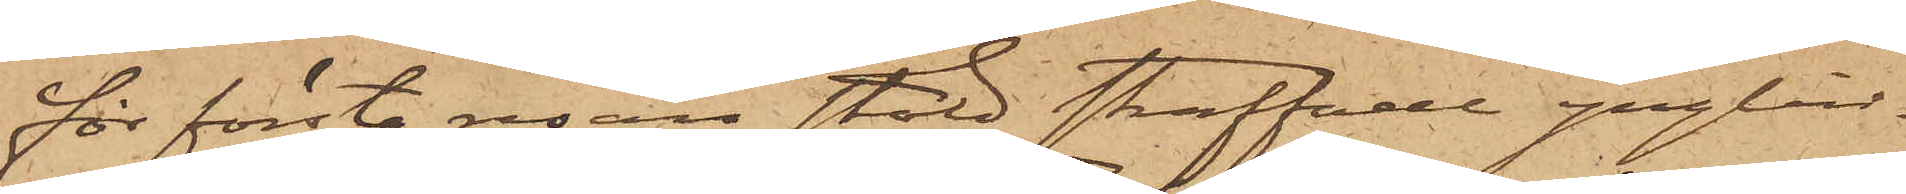för första resan stöld straffade ynglin¬
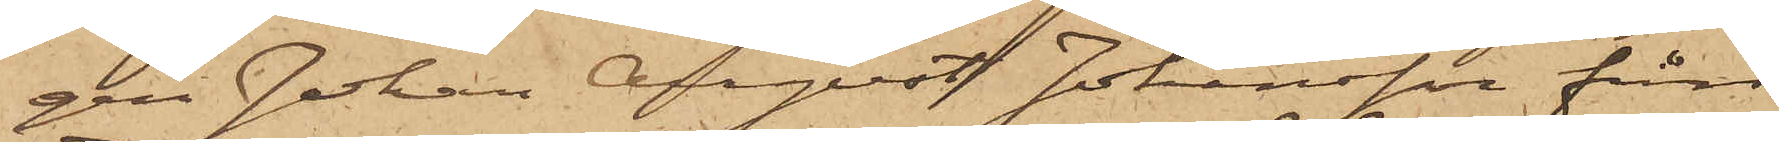gen Johan August Johansson från
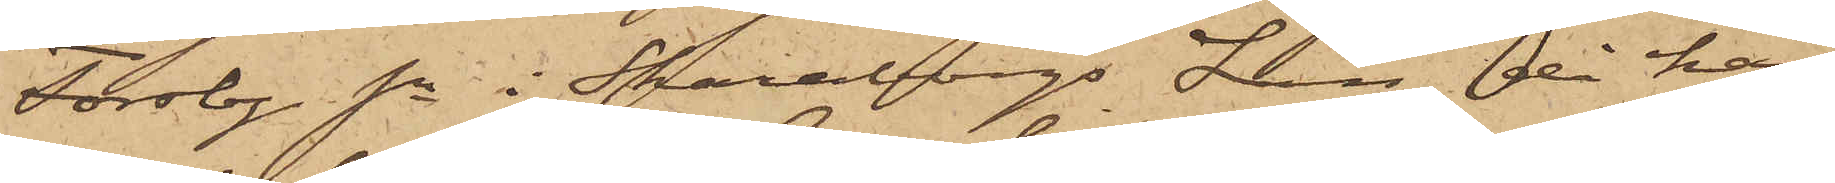Forsby sn i Skaraborgs Län, då han
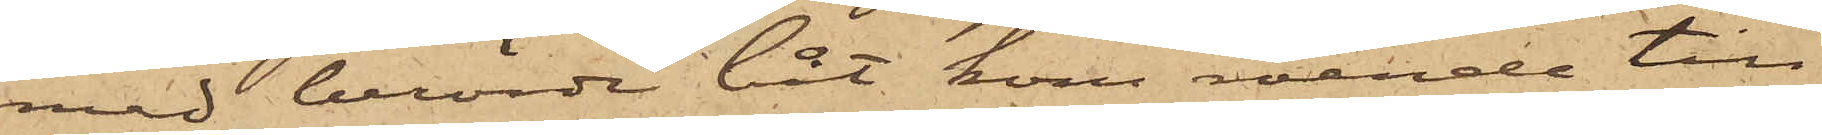med berörde båt kom roende till
